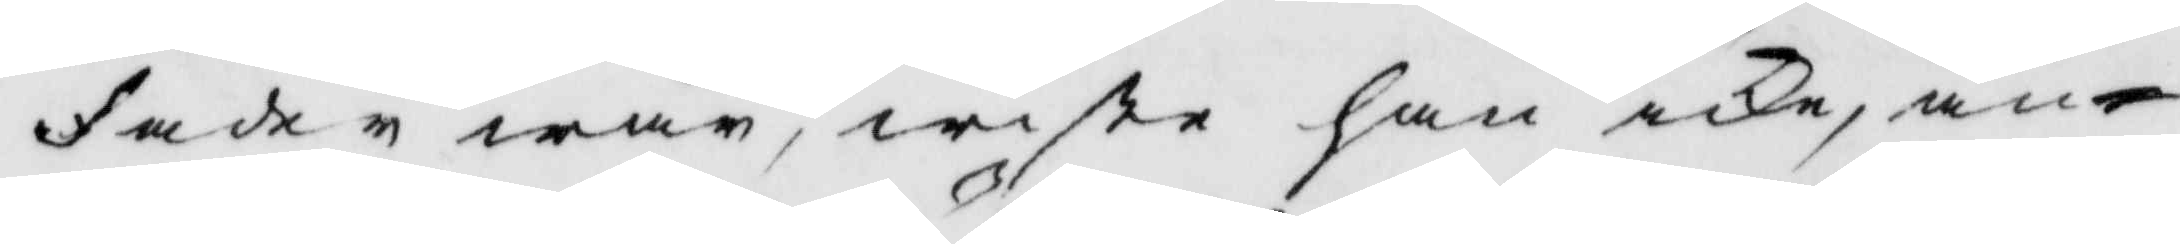Fader wår, wiste han icke, an¬
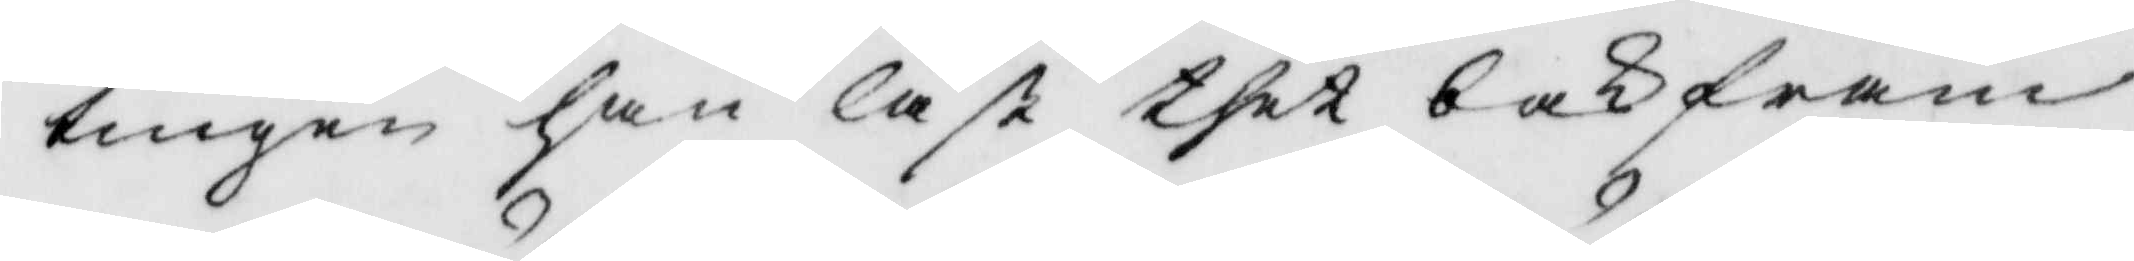tingen han läst thet bakfram
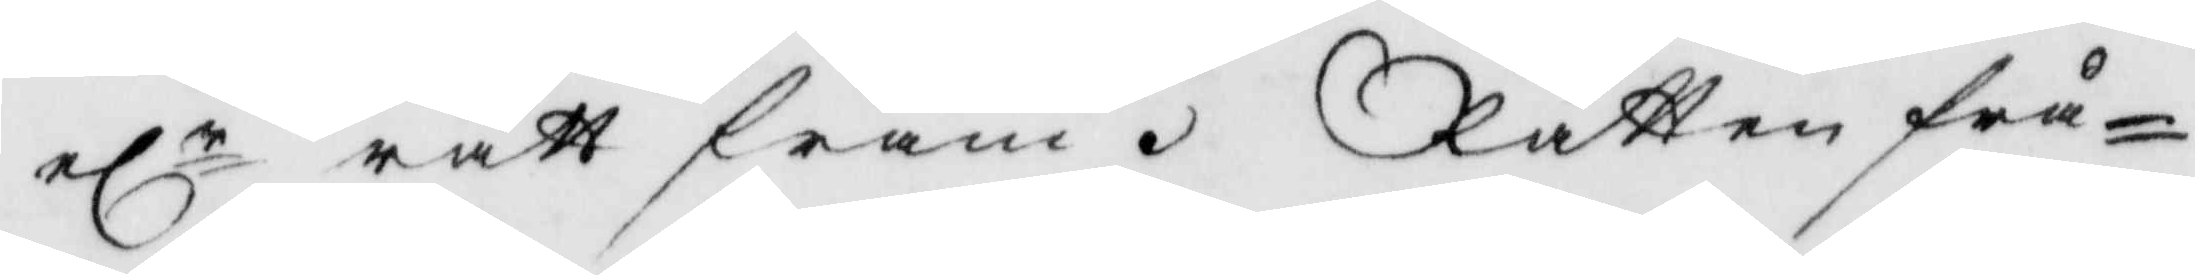elr rätt fram. Rätten frå¬
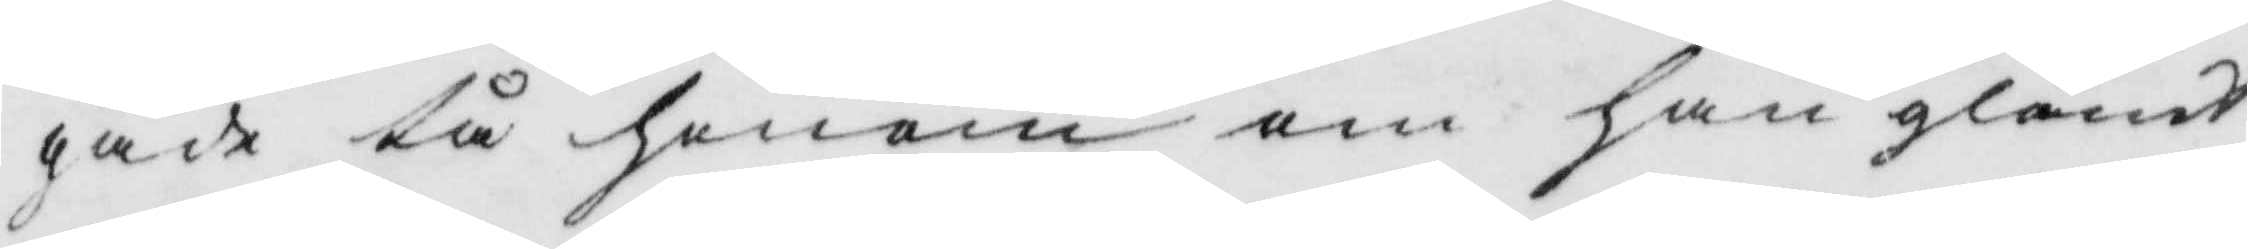gade tå honom om han glömdt
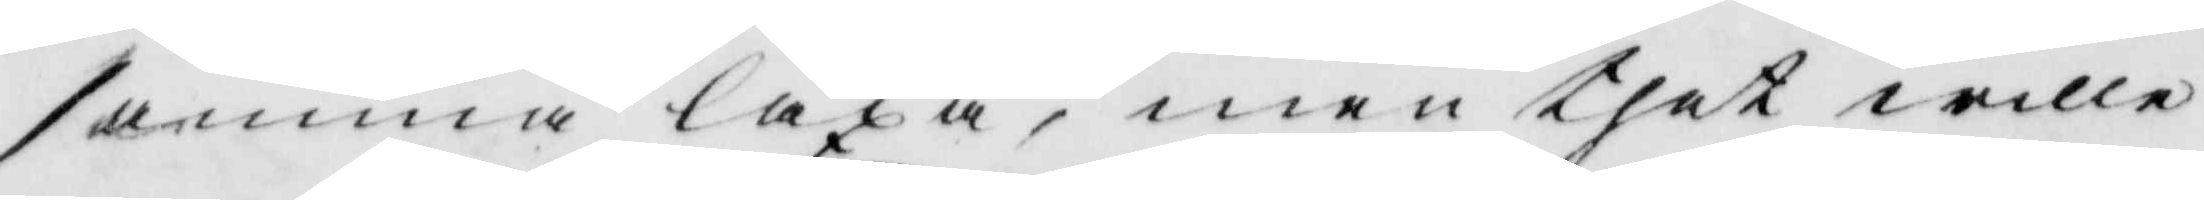samma läxa, men thet wille
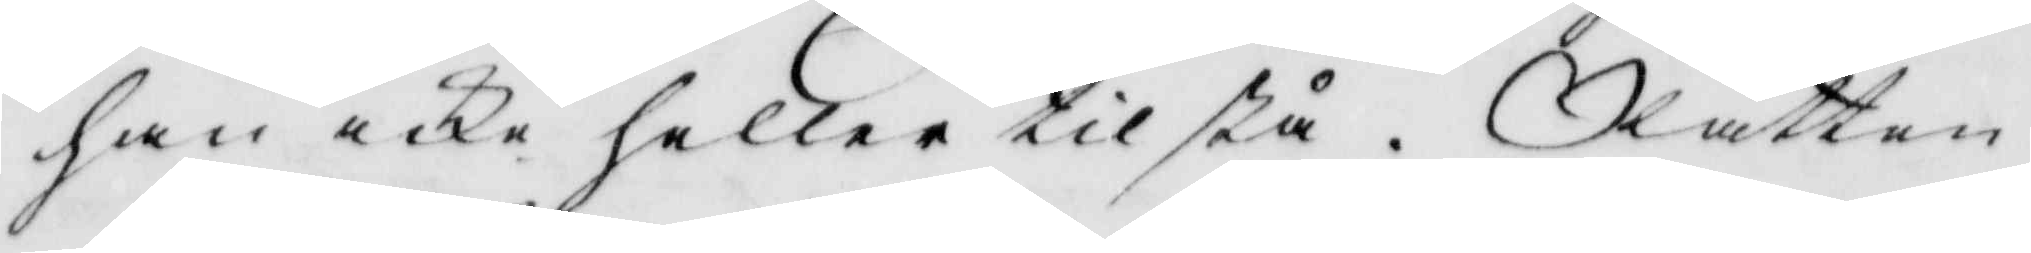han icke heller tilstå. Rätten
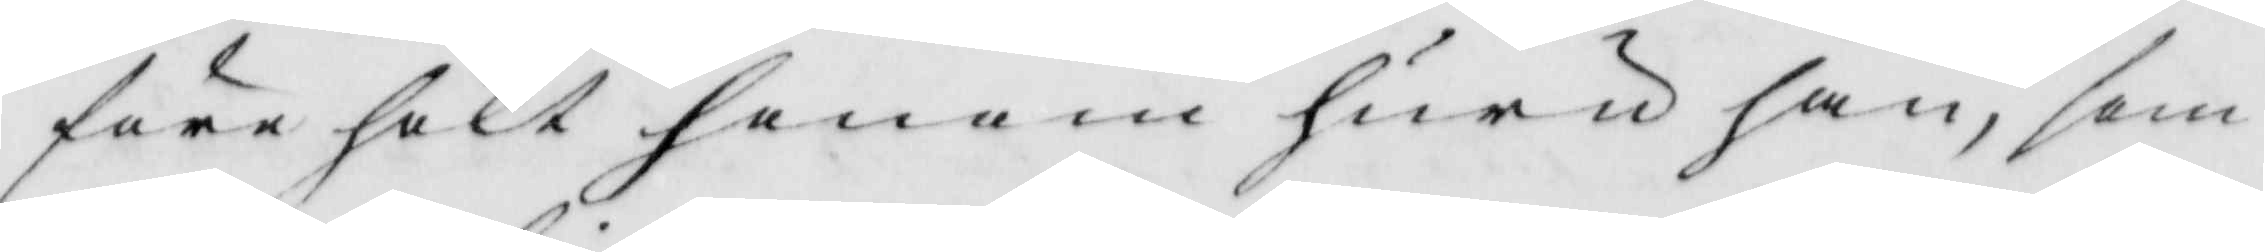förehölt honom huru han, som
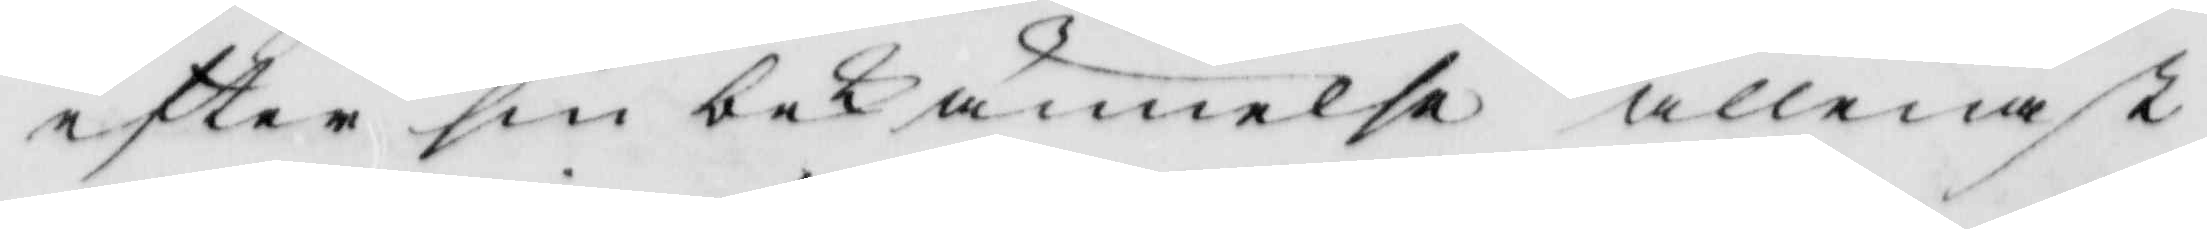efter sin bekännelse allenast
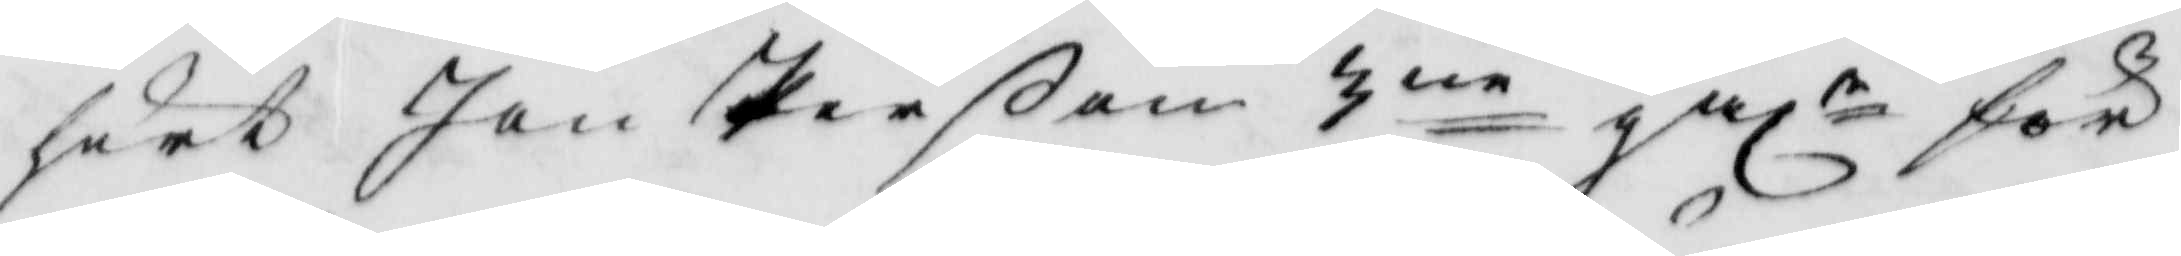hört Jan Perßom 3ne gålr för
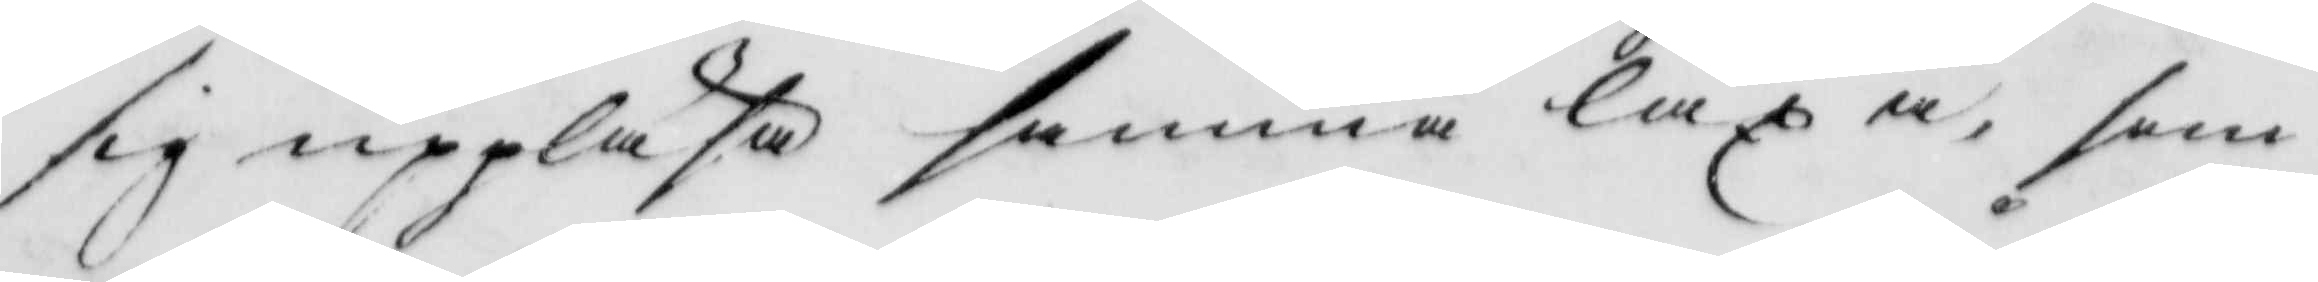sig uppläsa samma läxa, som
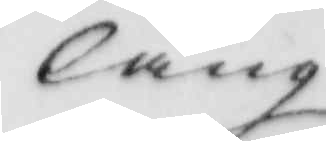lång
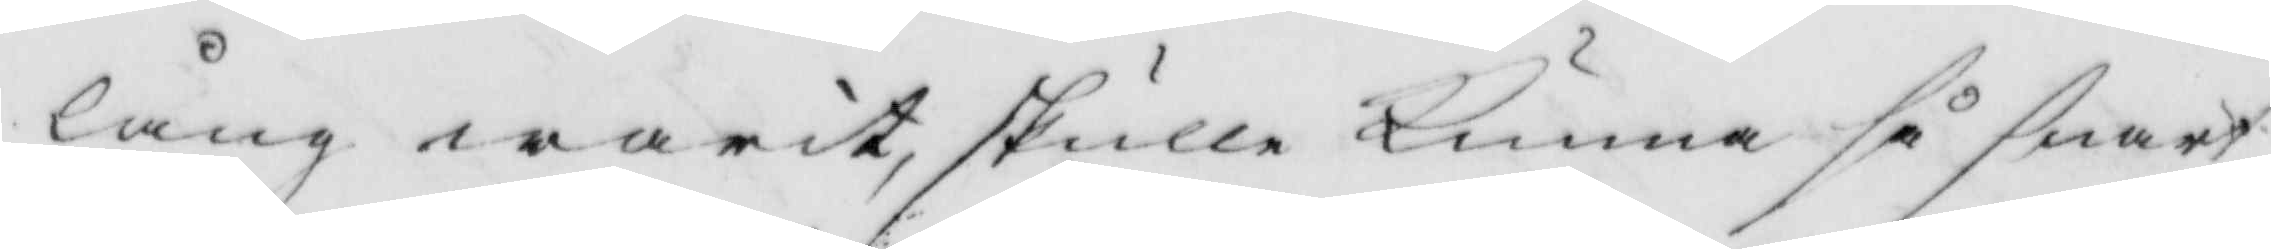lång warit, skulle kunna så snart
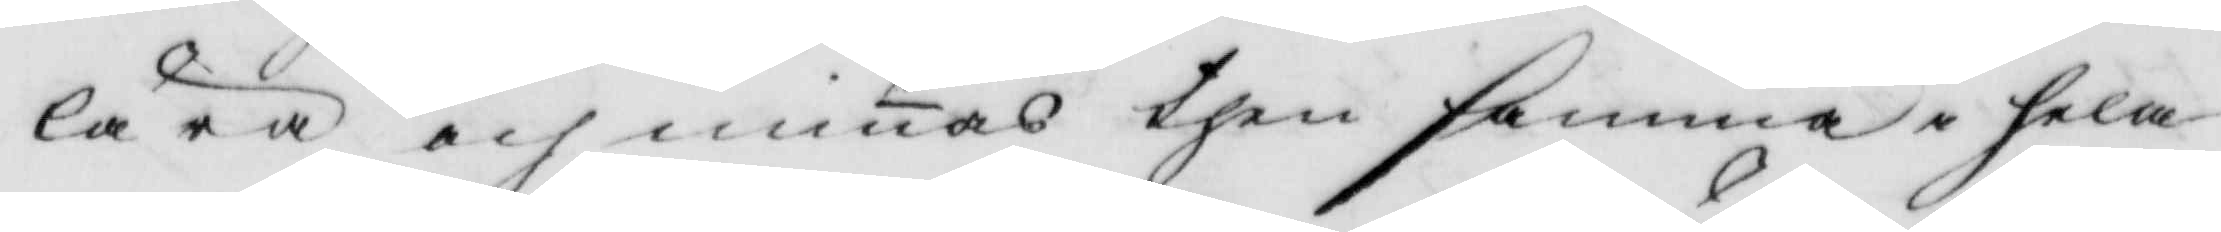lära och minas then samma i hela
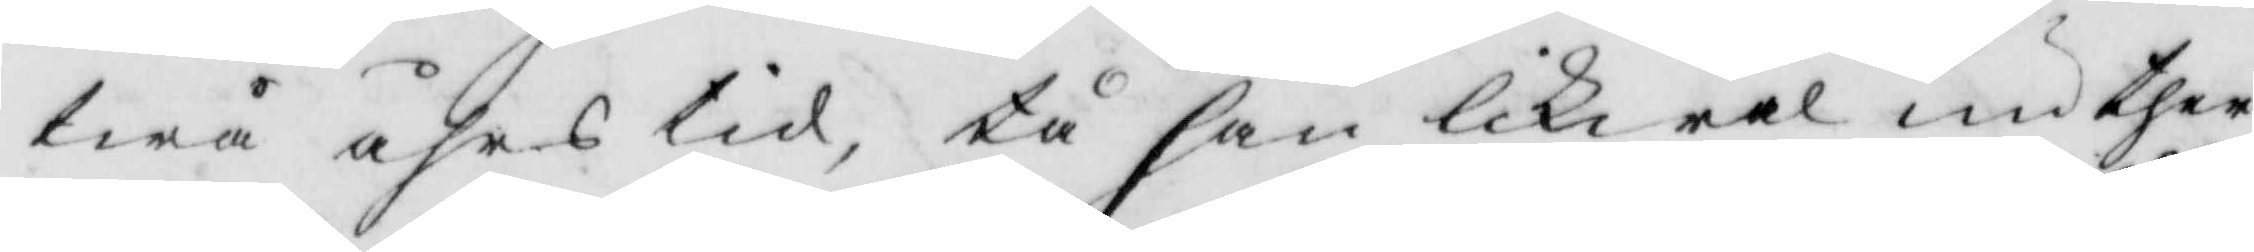twå års tid, tå han likwäl nu ther
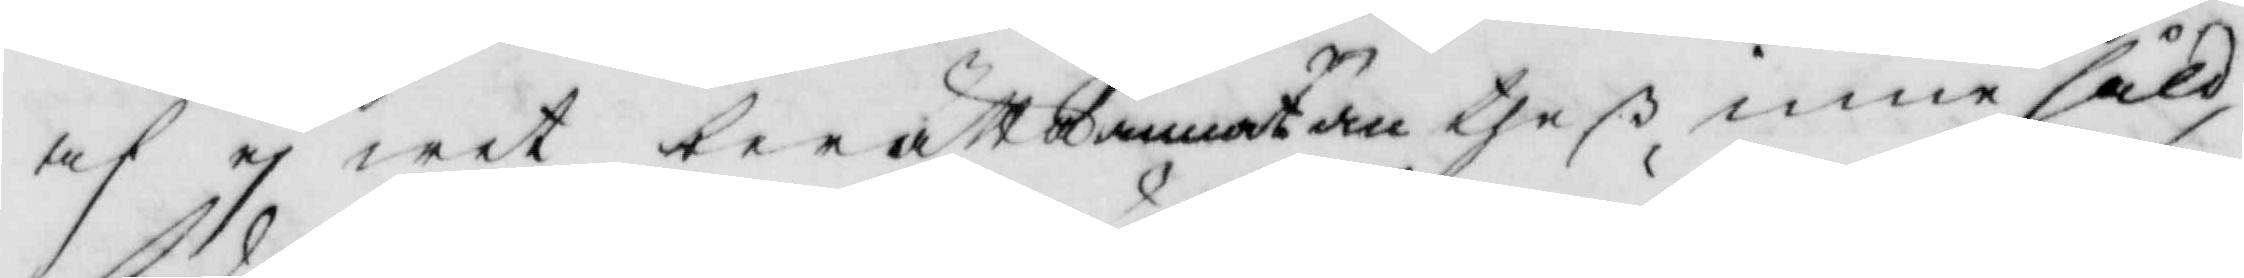af ej wet berätta anat än theß innehåld
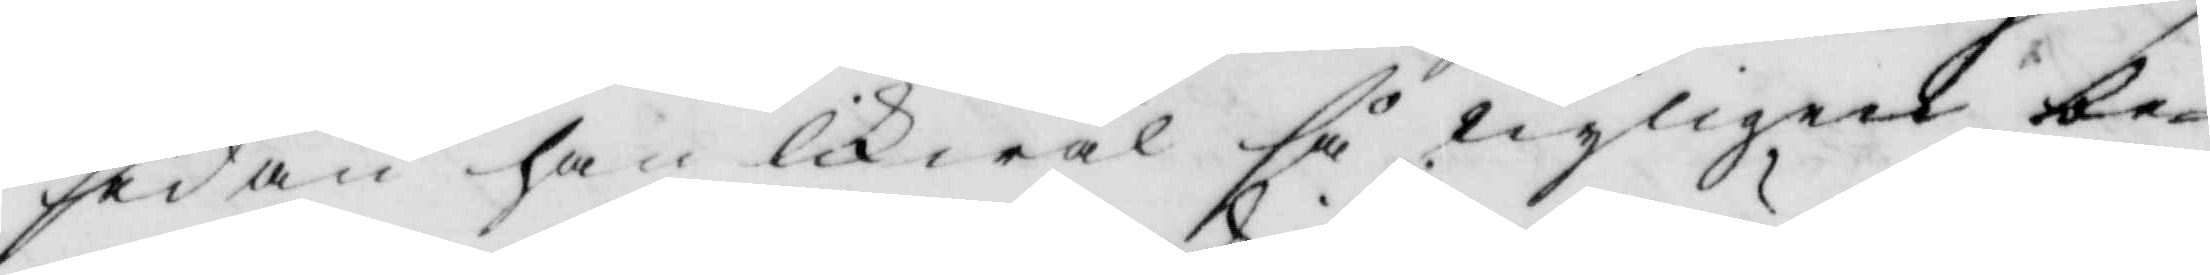sedan han lika wäl så wyligare be¬
